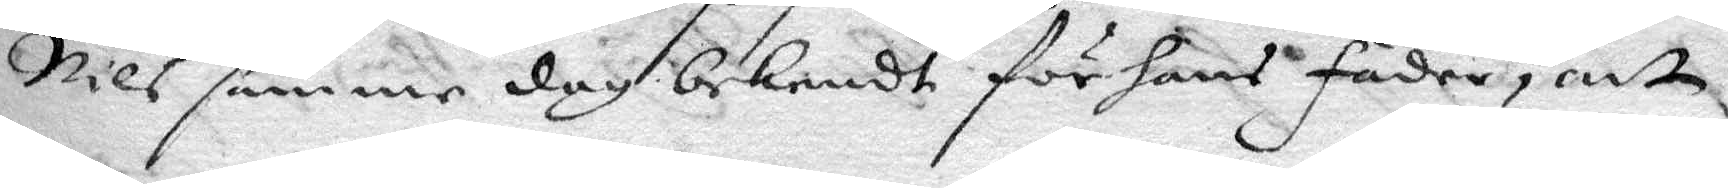Nils samme dah bekendt för hans fader, att
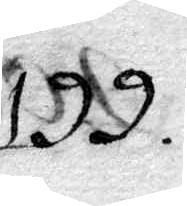199.
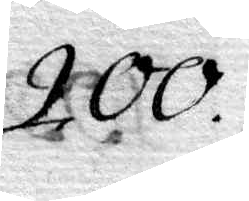200.
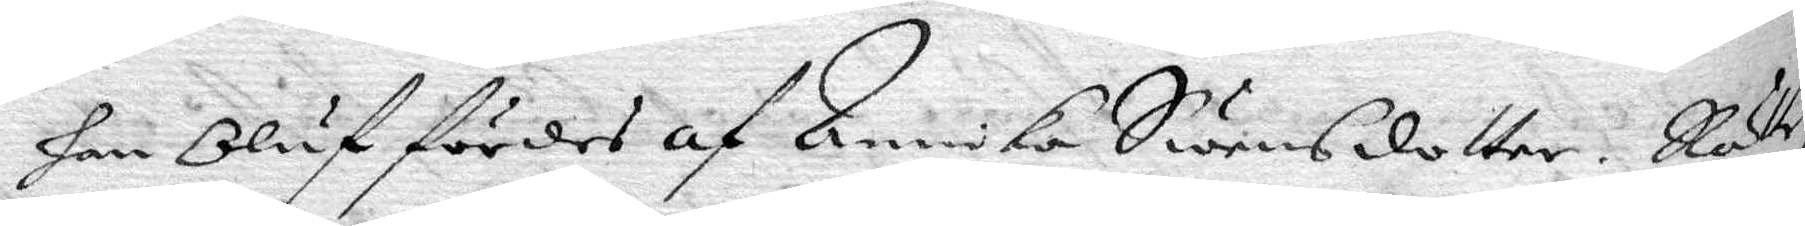han Oluf fördes af Annika Swensdotter Rätten
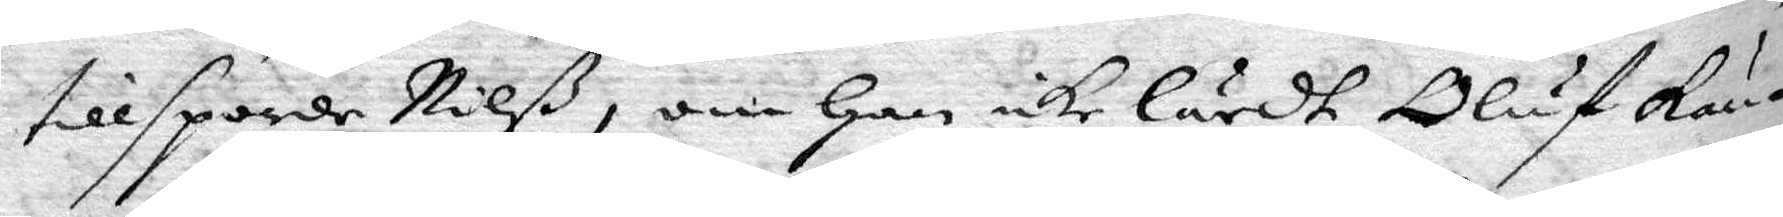tillsporde Nilß, om han icke lärdt oluf kän¬
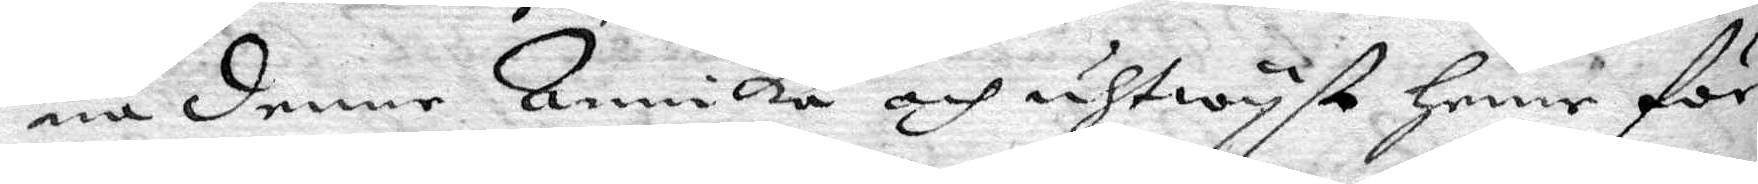na denne Annika och uthwyst henne för
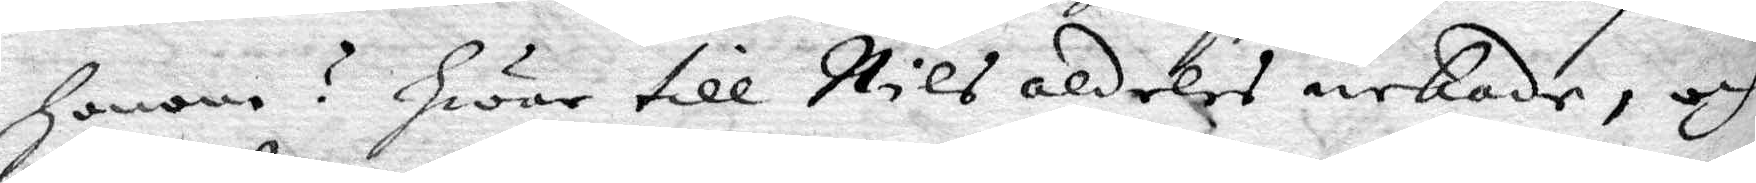honom? Hwar till Nils aldeles nekade, och
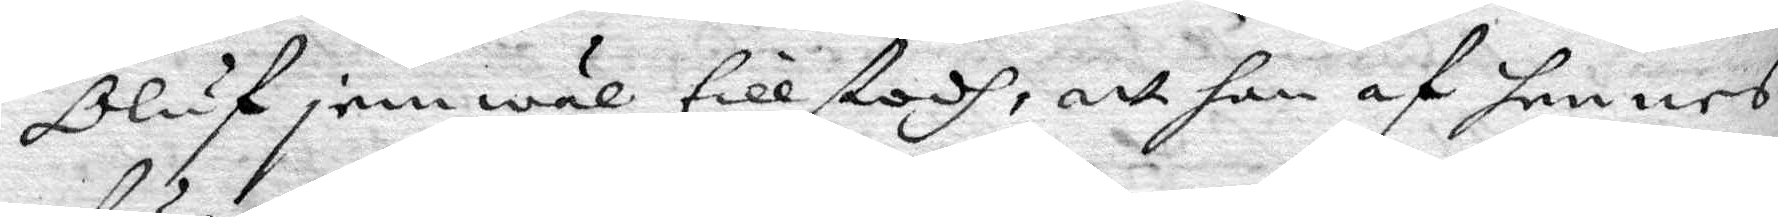Oluf jemwäl tillstodh, att han af hennes
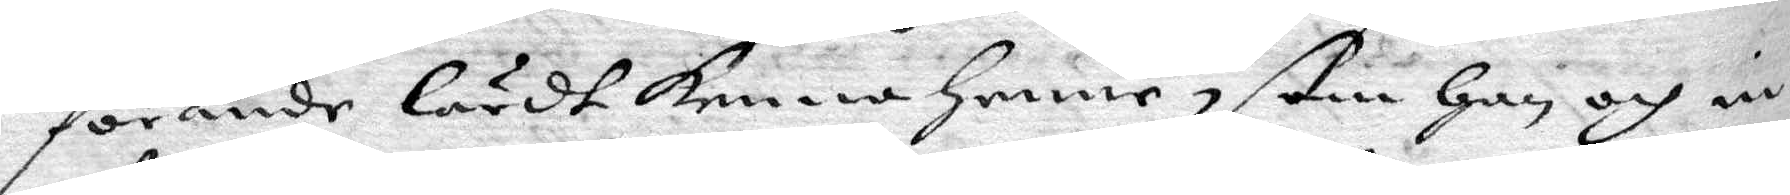förande lärdt kenna henne, som han och in
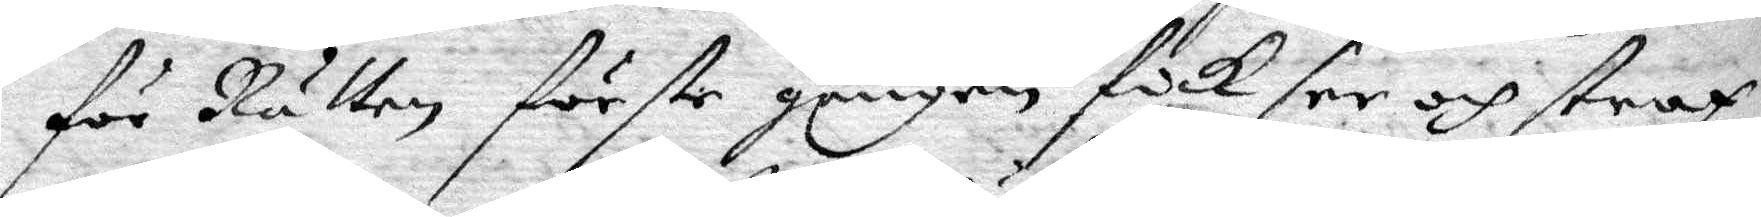för Rätten förste gången fick see och strax
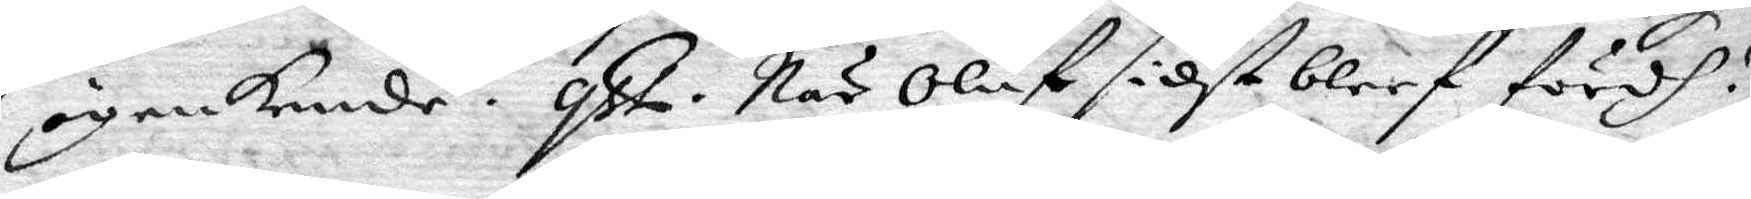igenkende. qst. När Oluf sidst bleef fördh?
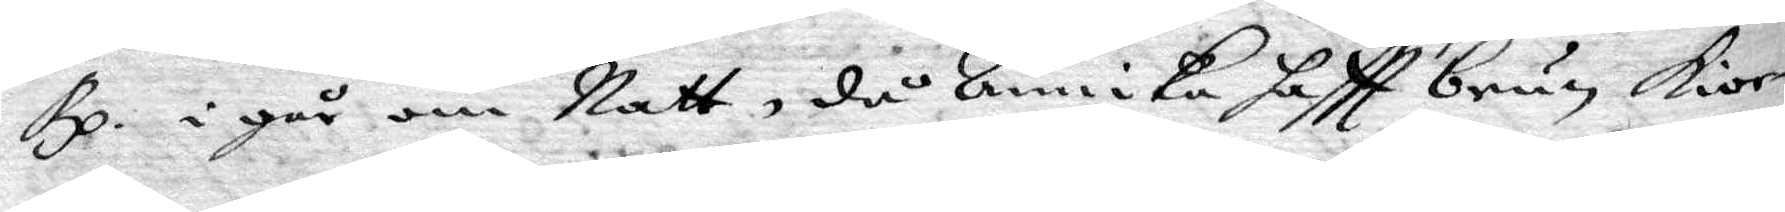Rp. igår om Natt, då Annika hafft brun kior¬
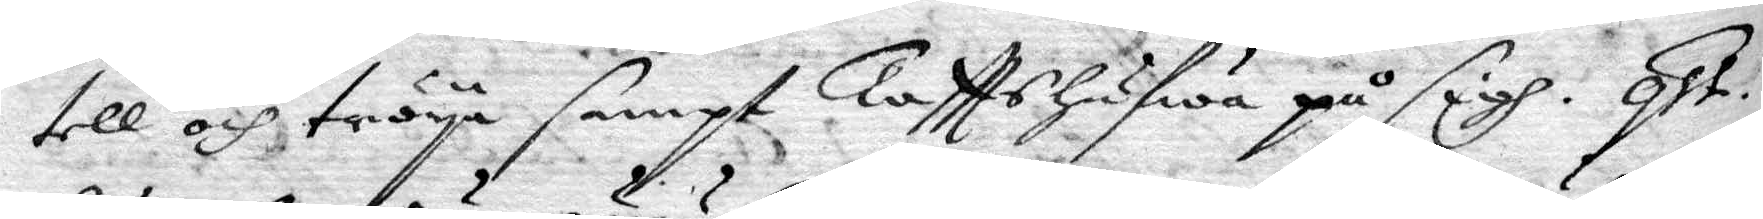tell och tröya sampt Tafttshufwa på sigh. qst.
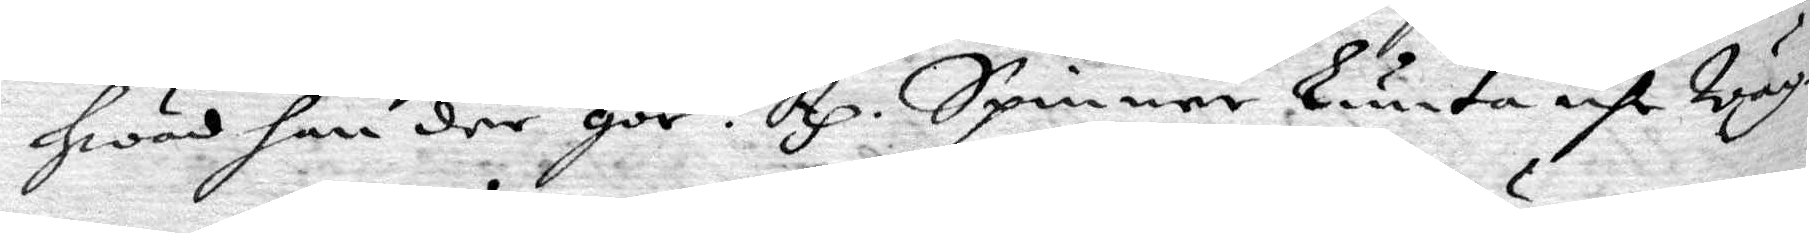hwad han däe gör? Rp. Spinner lunta uhr wäg¬
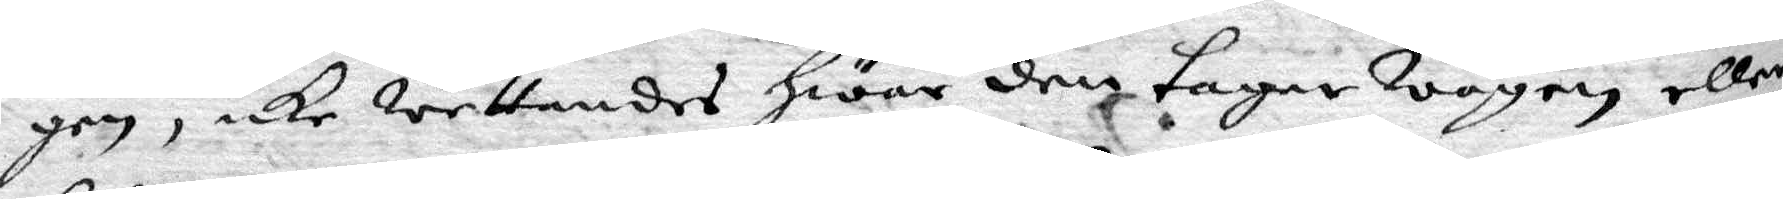gen, icke wettandes hwar den tager wägen eller
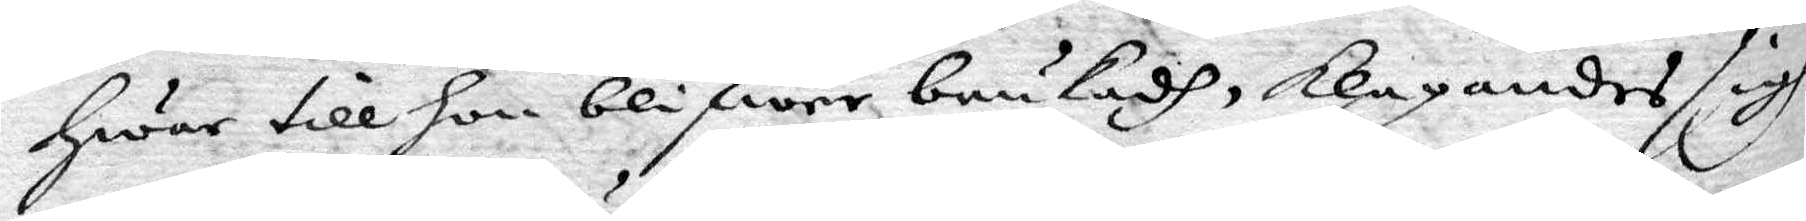hwar till hon blifwer brukadh, klagandes sigh
